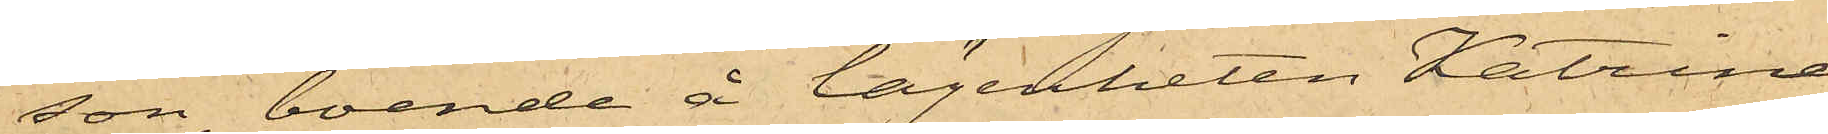son, boende å lägenheten Katrine¬
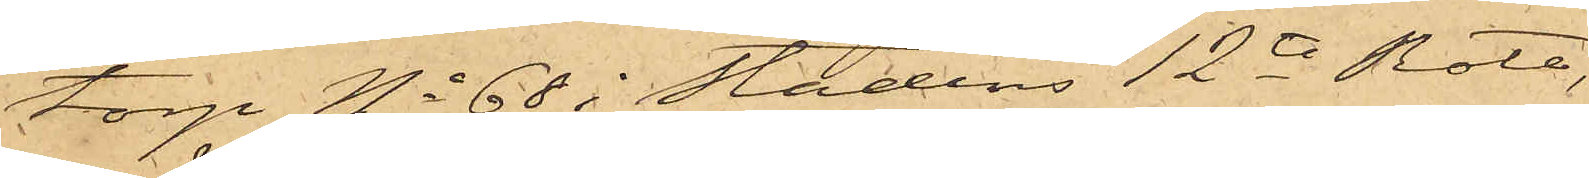torp No 68 i stadens 12te Rote,
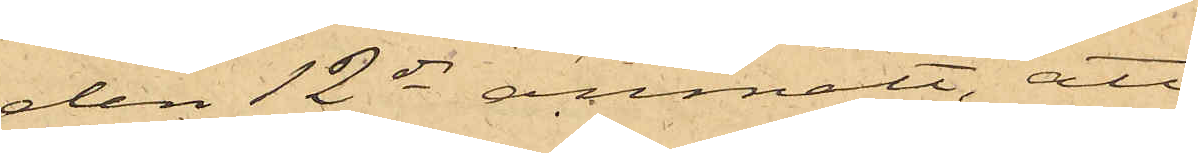den 12 ds anmält, att
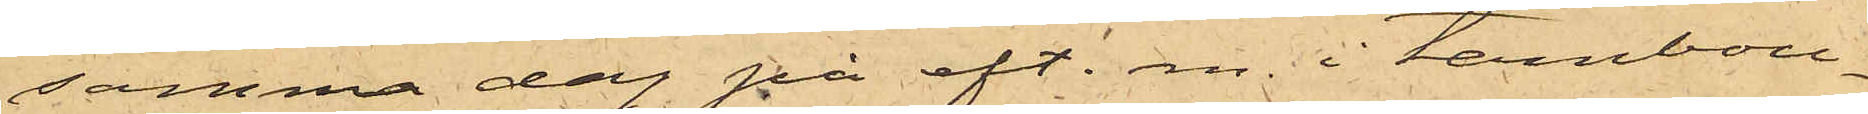samma dag på eft. m. i tambou¬
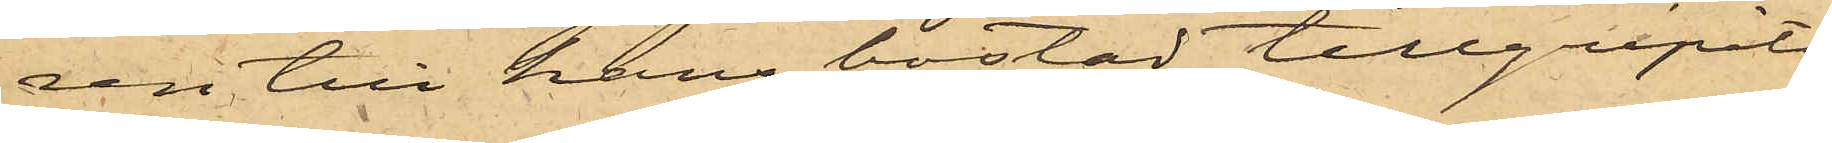ren till hans bostad tillgripits
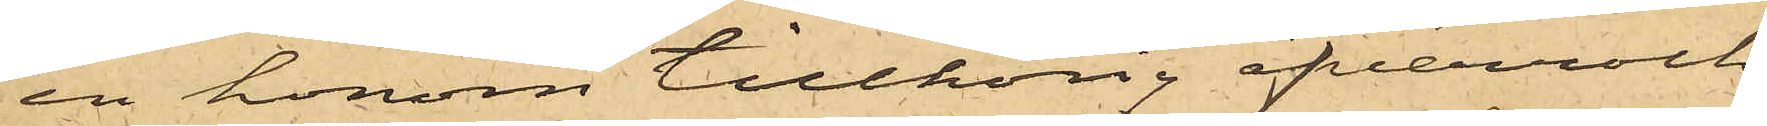en honom tillhörig öfverrock
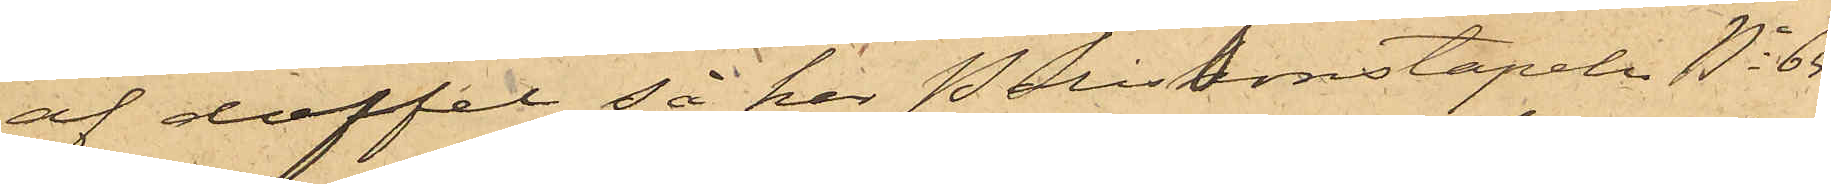af doffel, så har Poliskonstapeln No 65
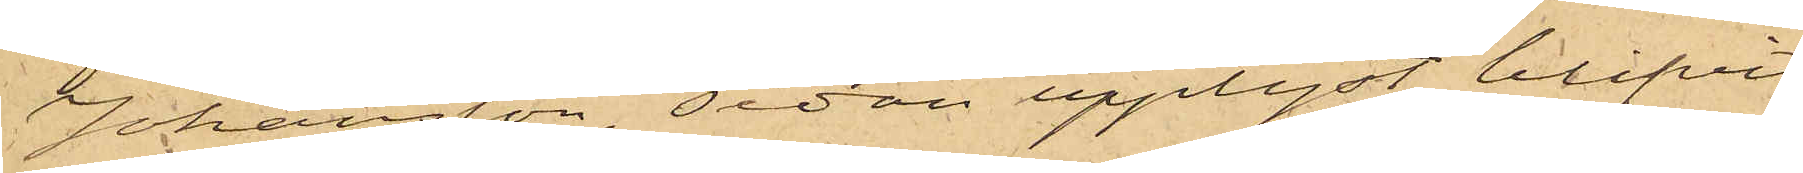Johansson, sedan upplyst blifvit
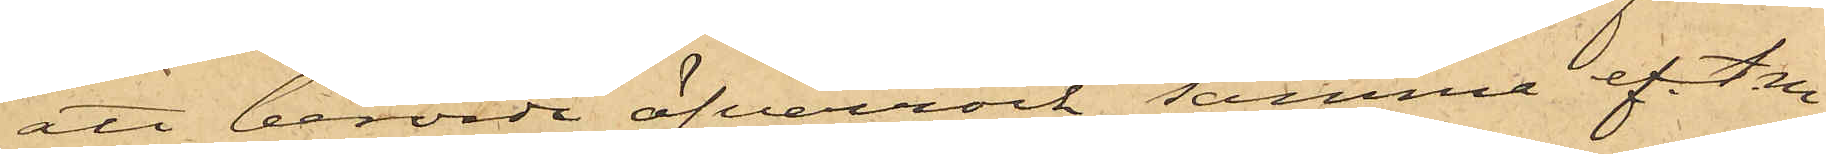att berörde öfverrock samma eft. m.
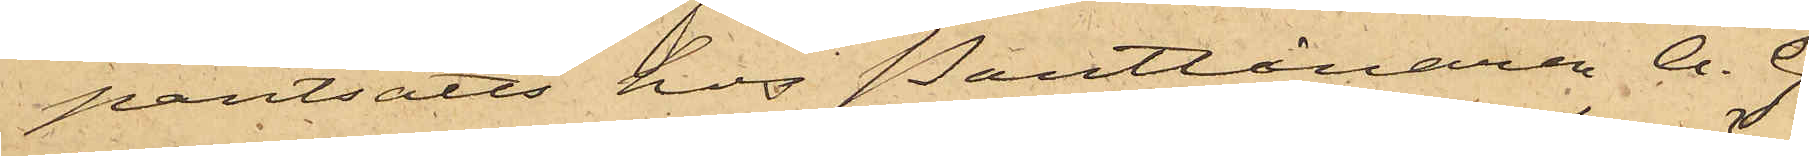pantsatts hos Pantlånaren A. G.
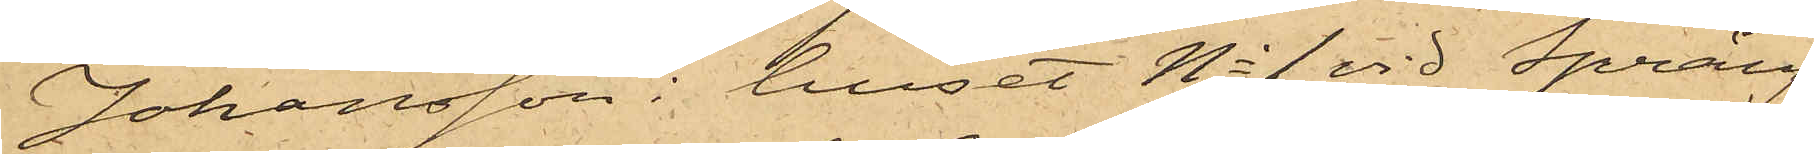Johansson i huset No 1 vid Spräng¬
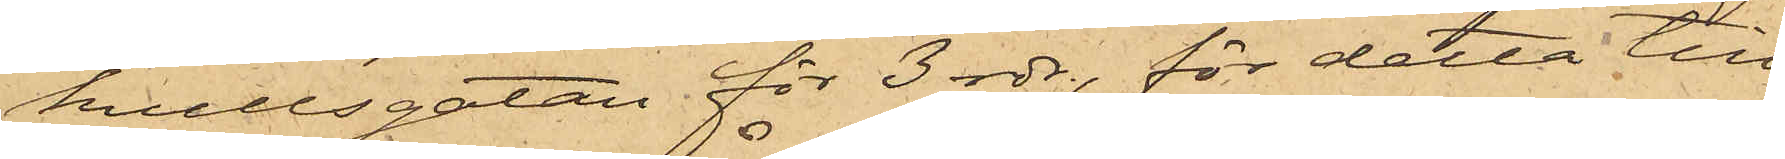kullsgatan för 3 rdr, för detta till¬
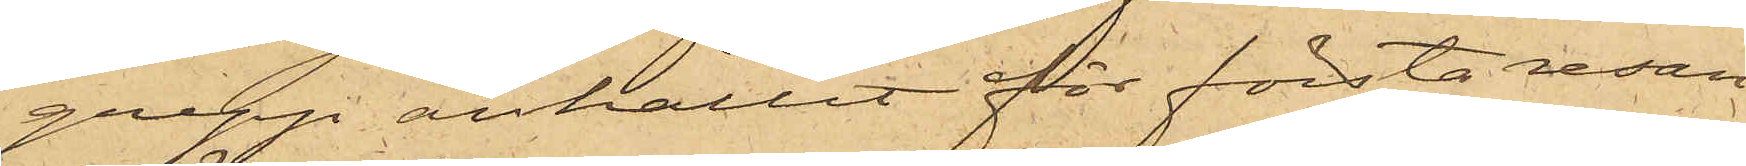grepp anhållit för första resan
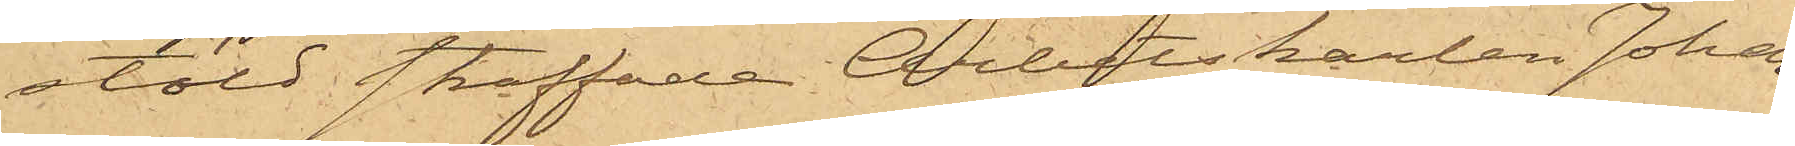stöld straffade Arbetskarlen Johan
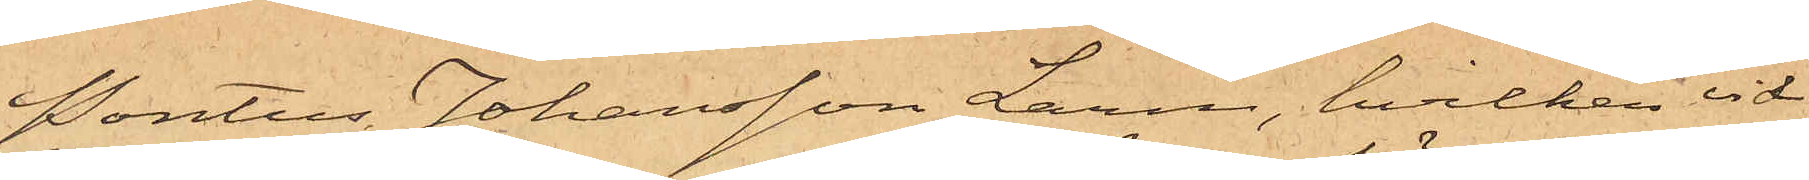Pontus Johansson Larm, hvilken vid
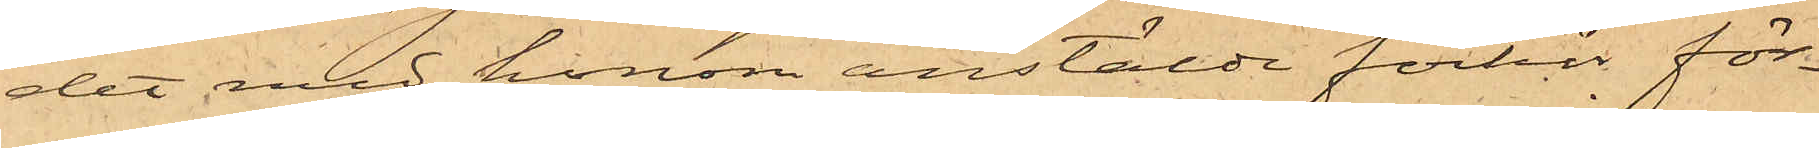det med honom anstälde förhör för¬
